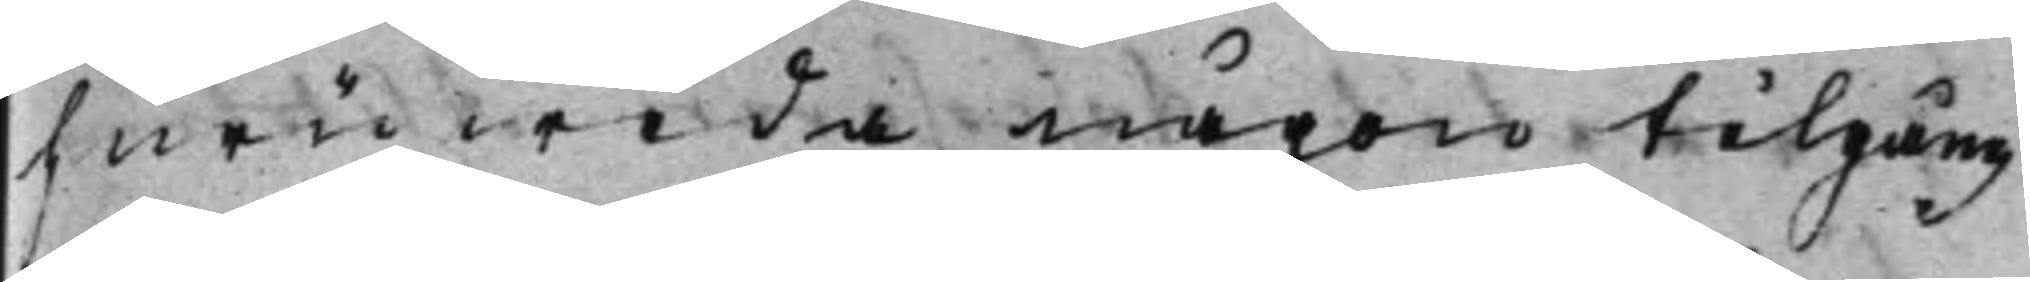huruwida någon tilgång
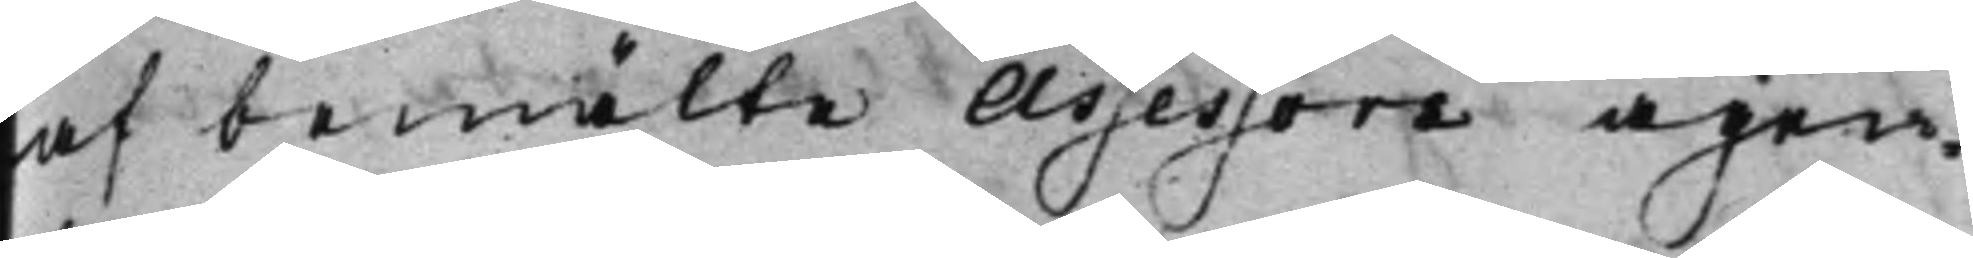af bemälte Assessors ägen¬
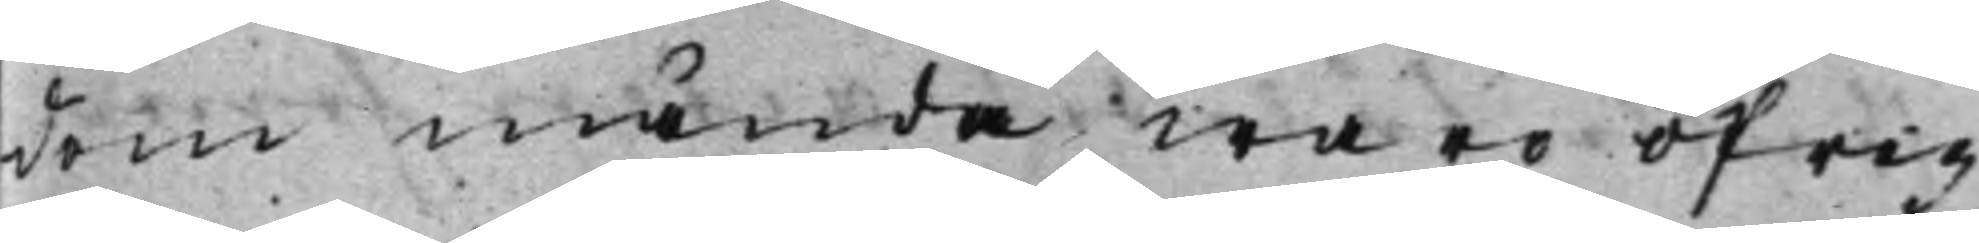dom månda ware öfrig
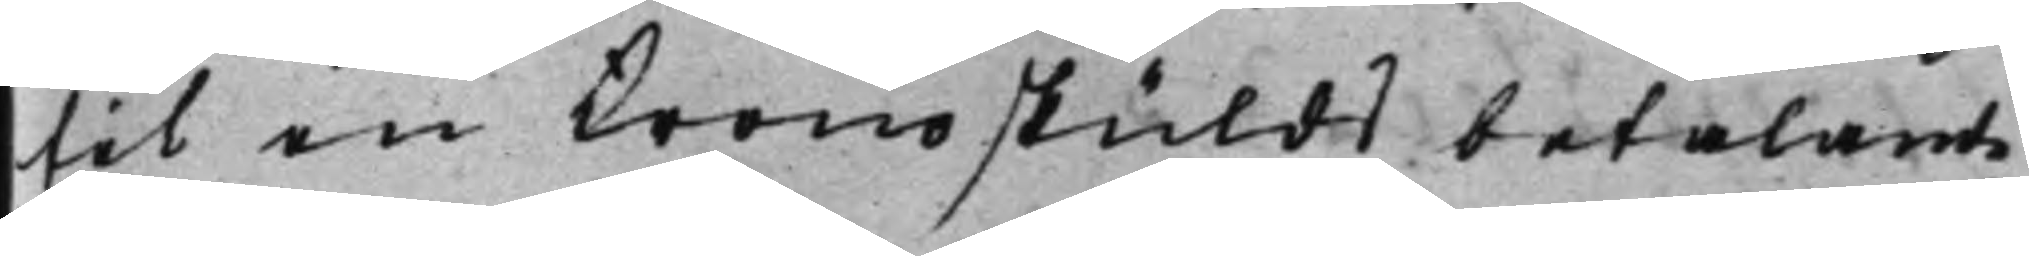til en kronoskulds betalande,
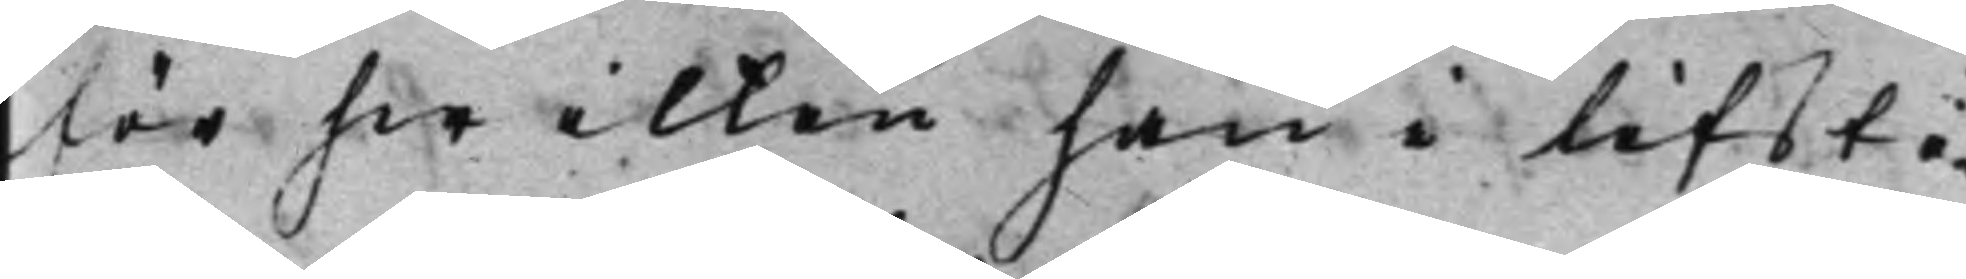för hwilken han i lifsti¬
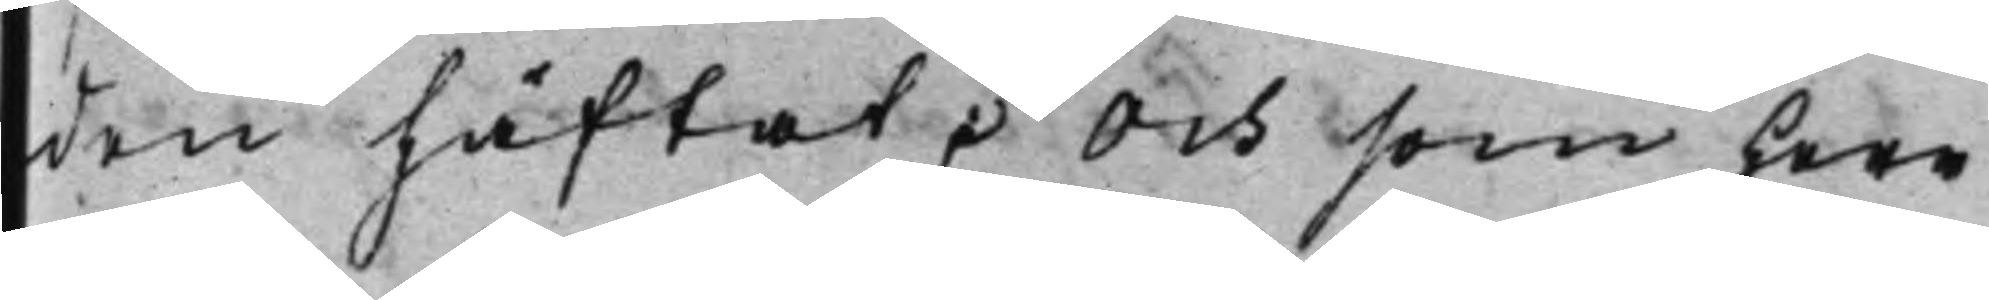den häftat. Och som Herr
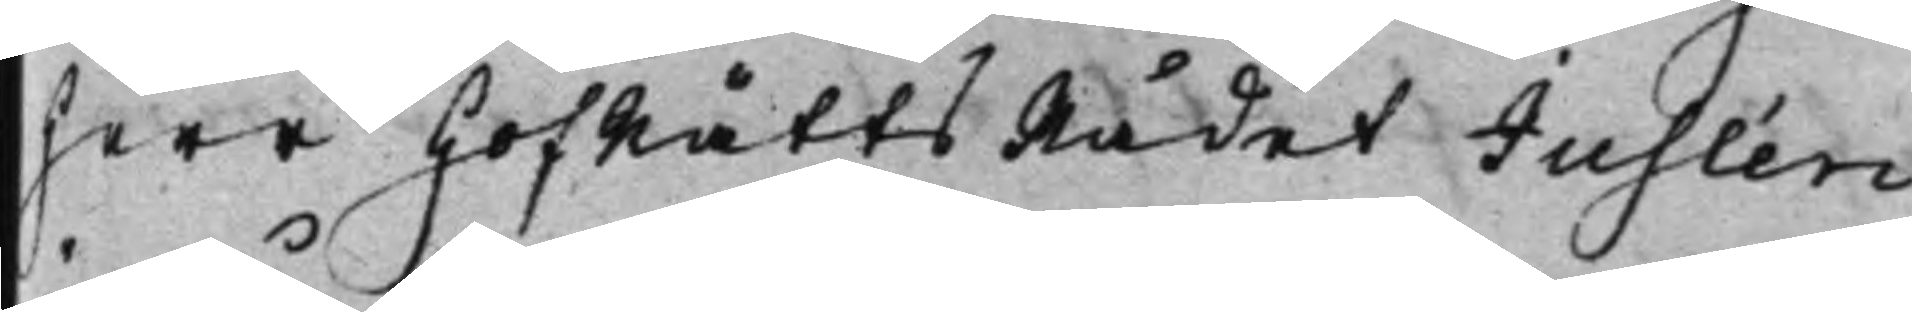Herr HofRättsRådet Juslén
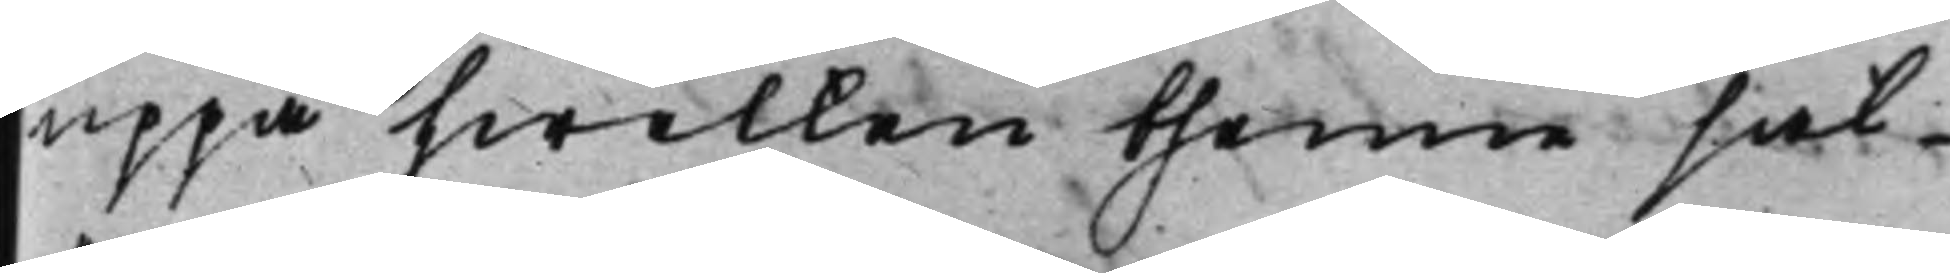uppå hwilken thenne sak
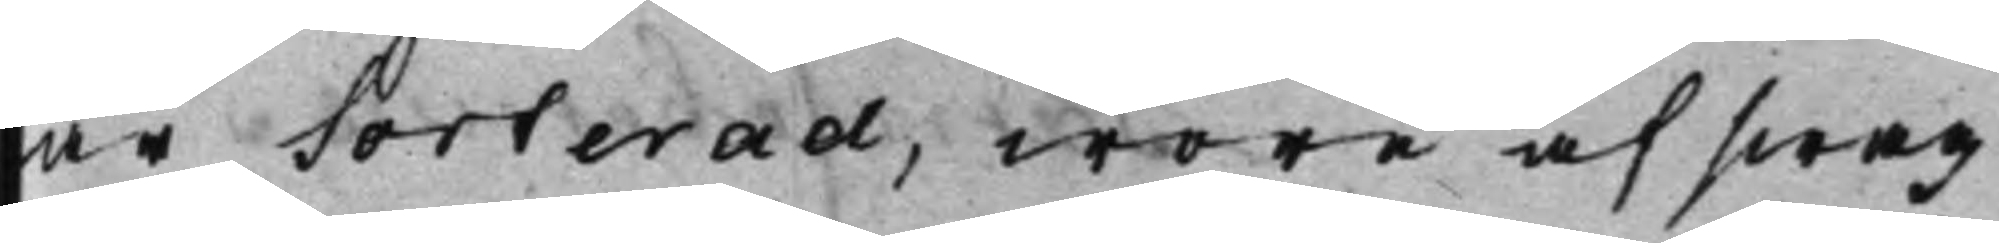är sorterad, wore af swag
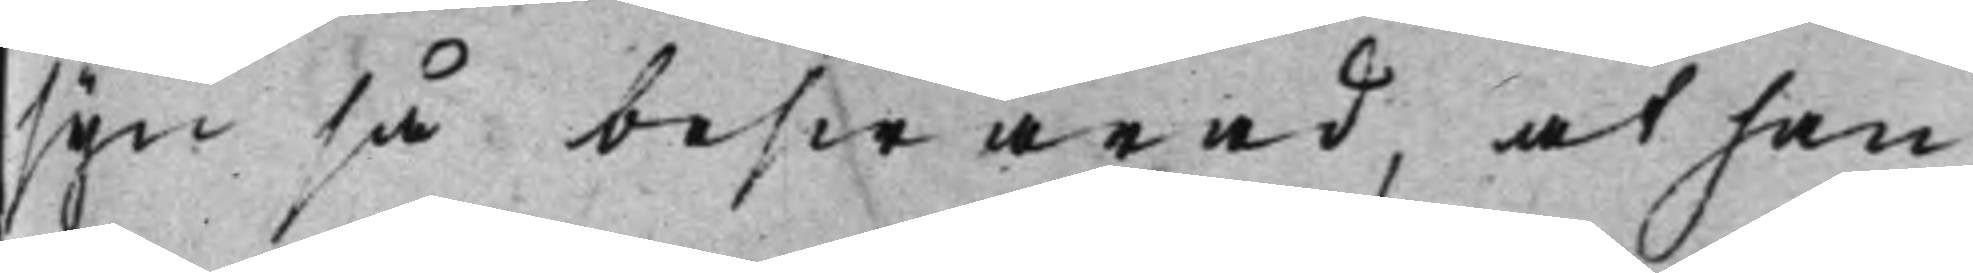syn så beswärad, at han
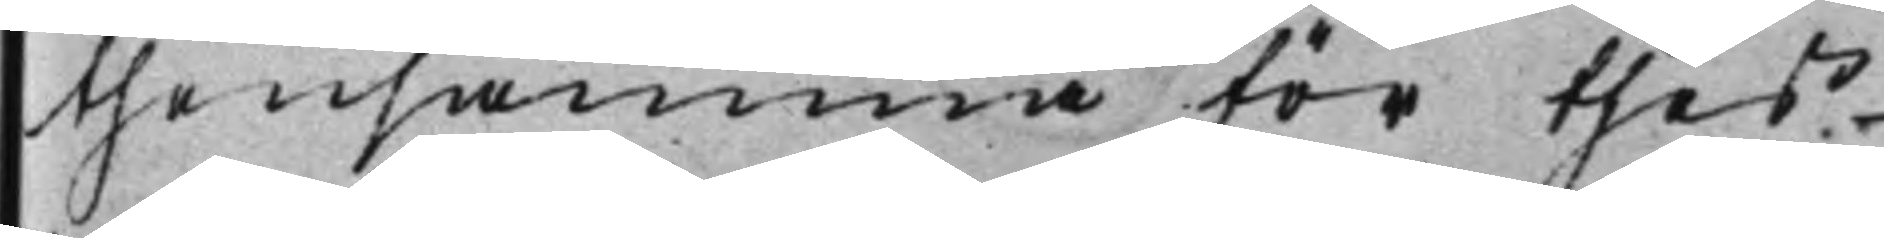thensamma för theß
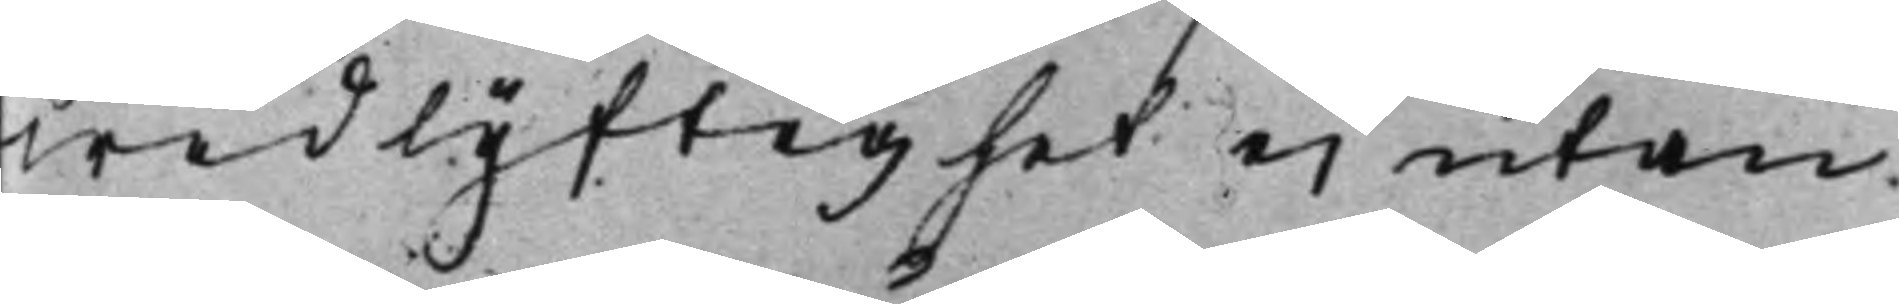widlyftighet ei utan
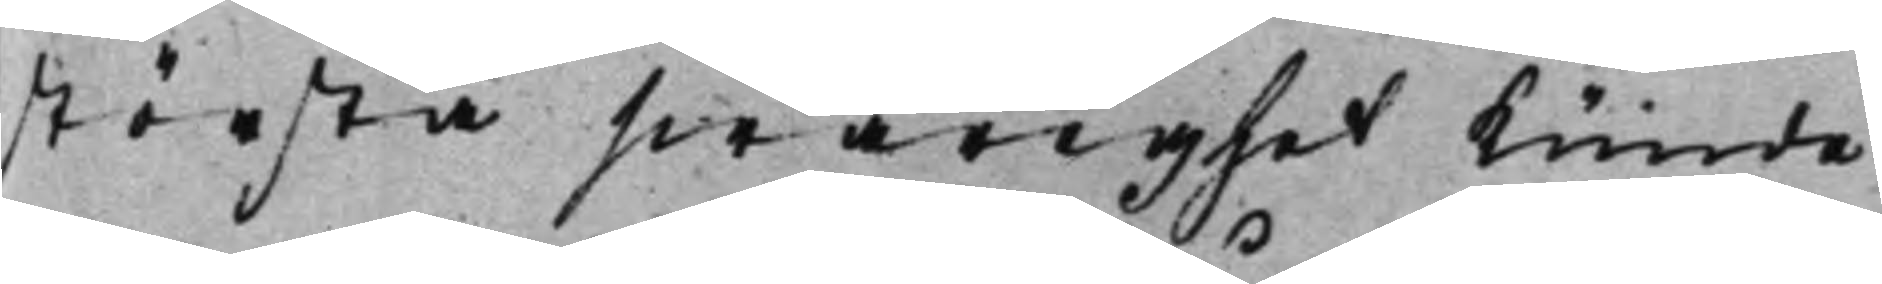största swårighet kunde
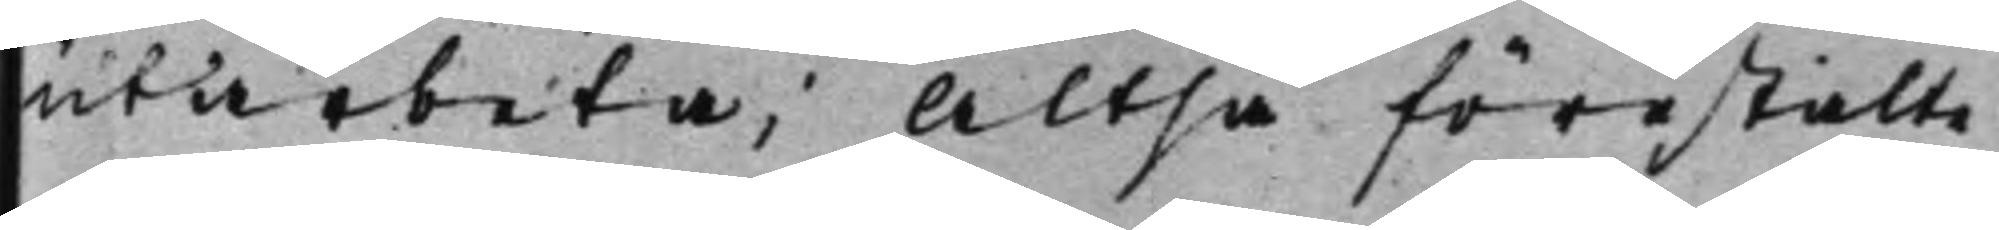utarbeta; Altså förestälte
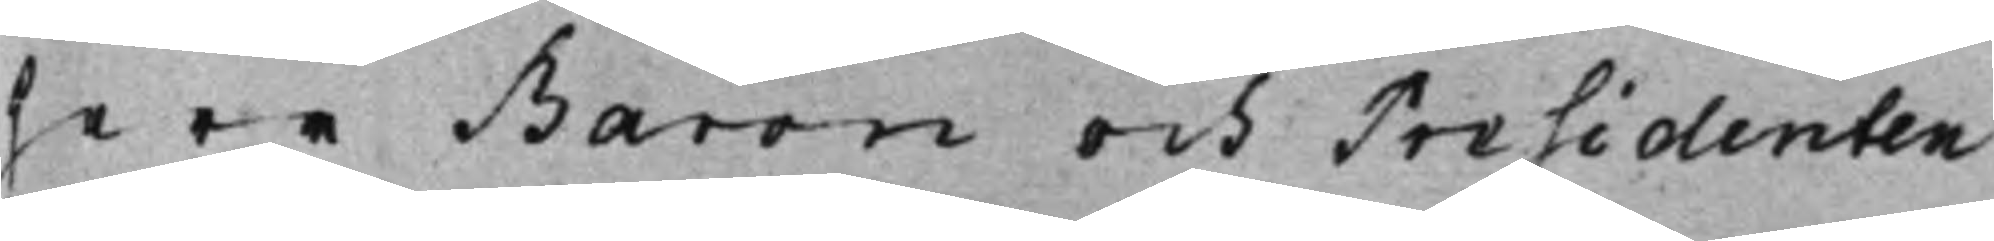Herr Baron och Presidenten
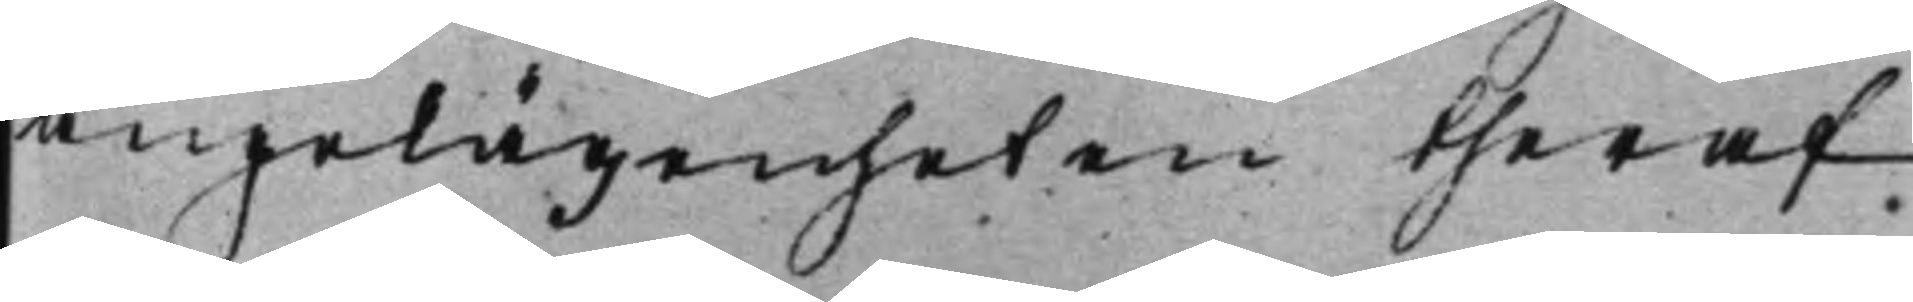angelägenheten theraf
